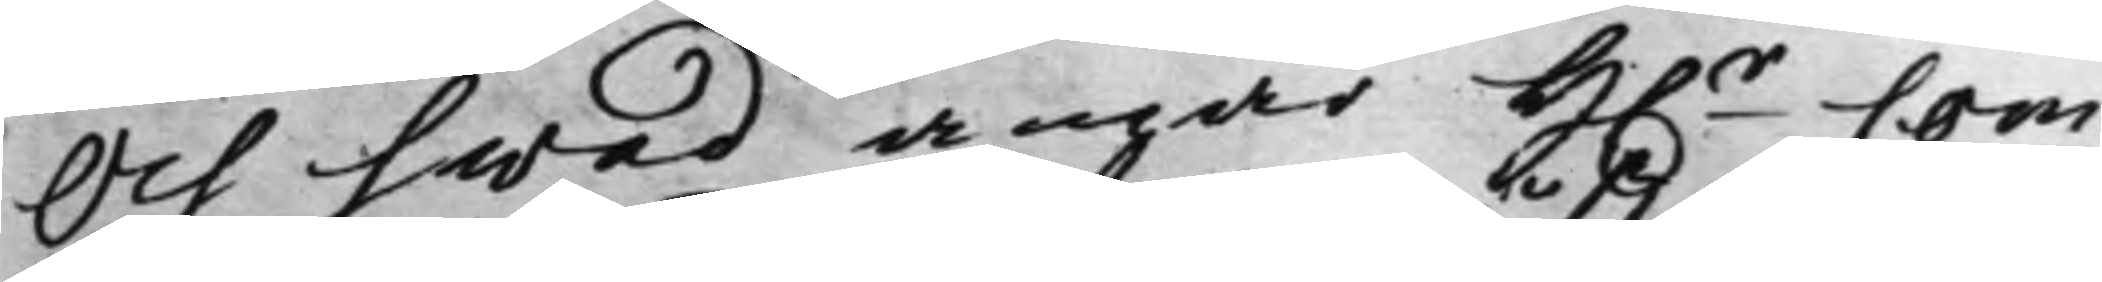Och hwad angår H.r Com¬
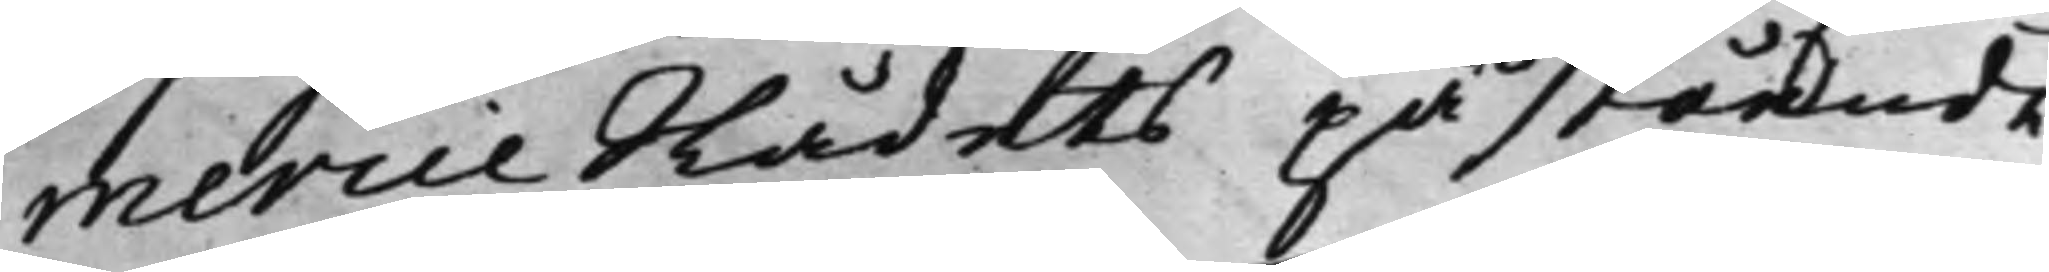mercie Rådets påstående
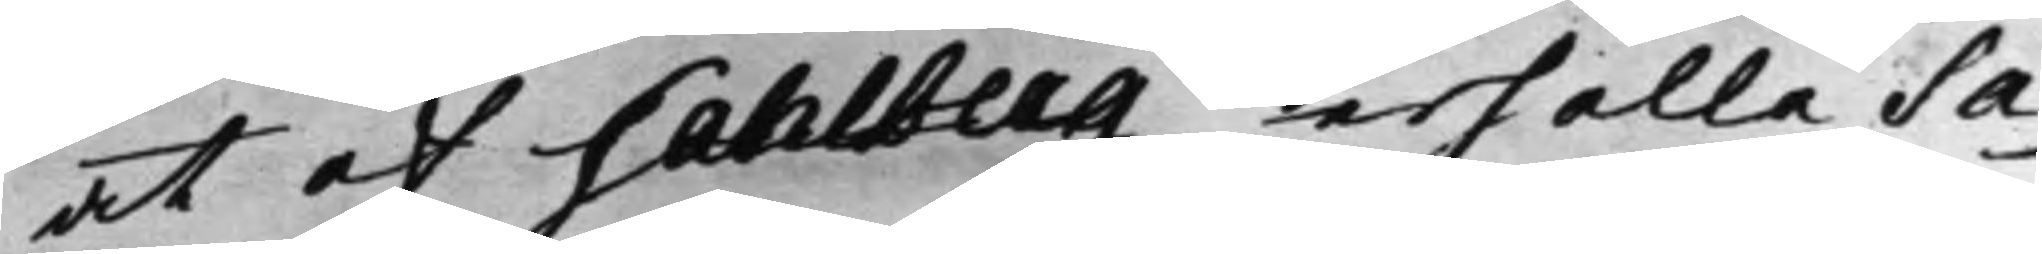at af Sahlberg erhålla Sa¬
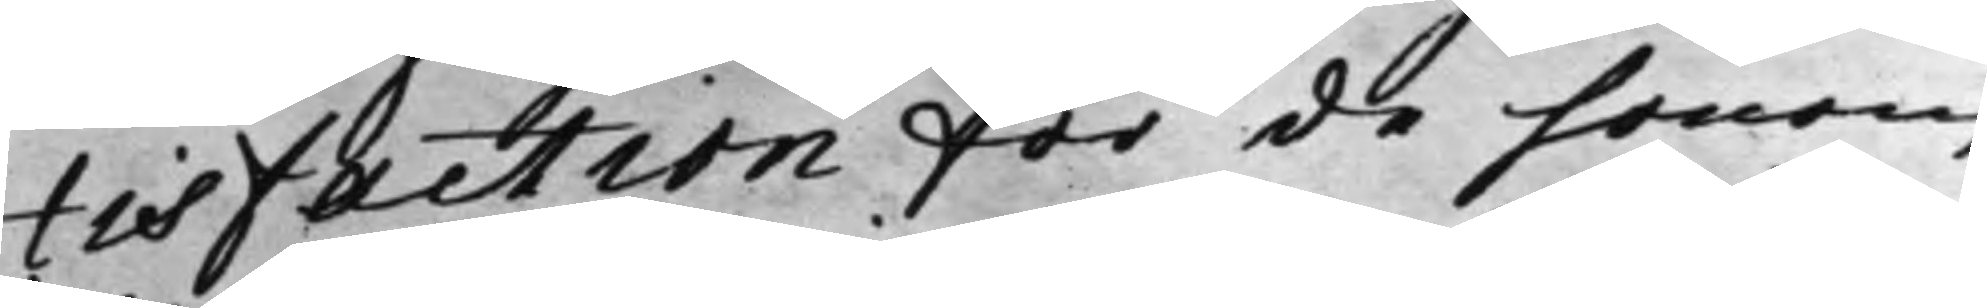tisfaction för de honom
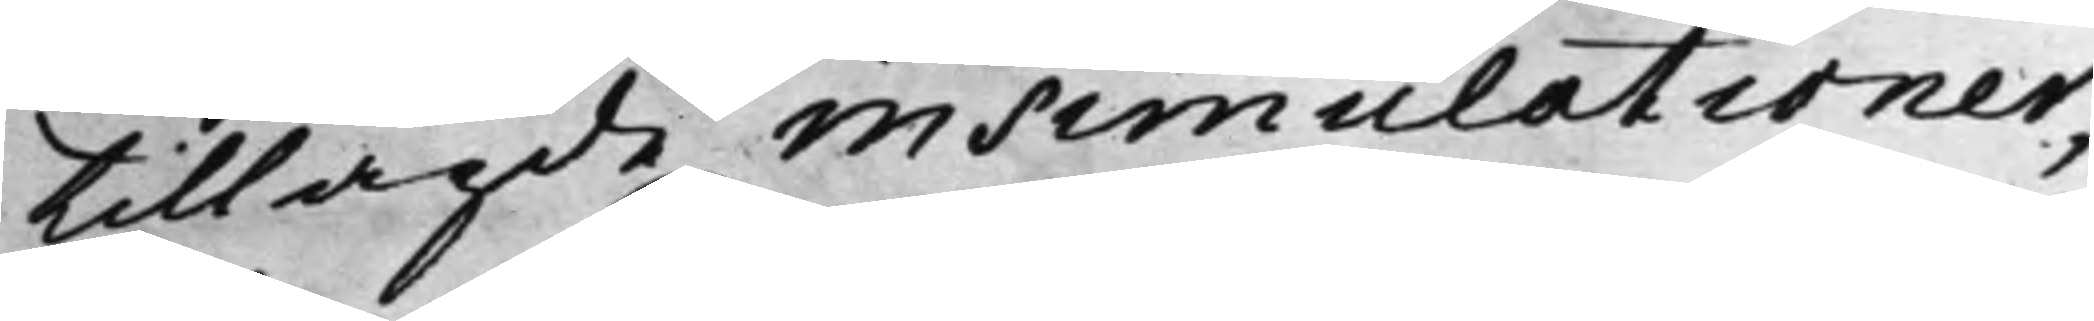tillagde insimulationer;
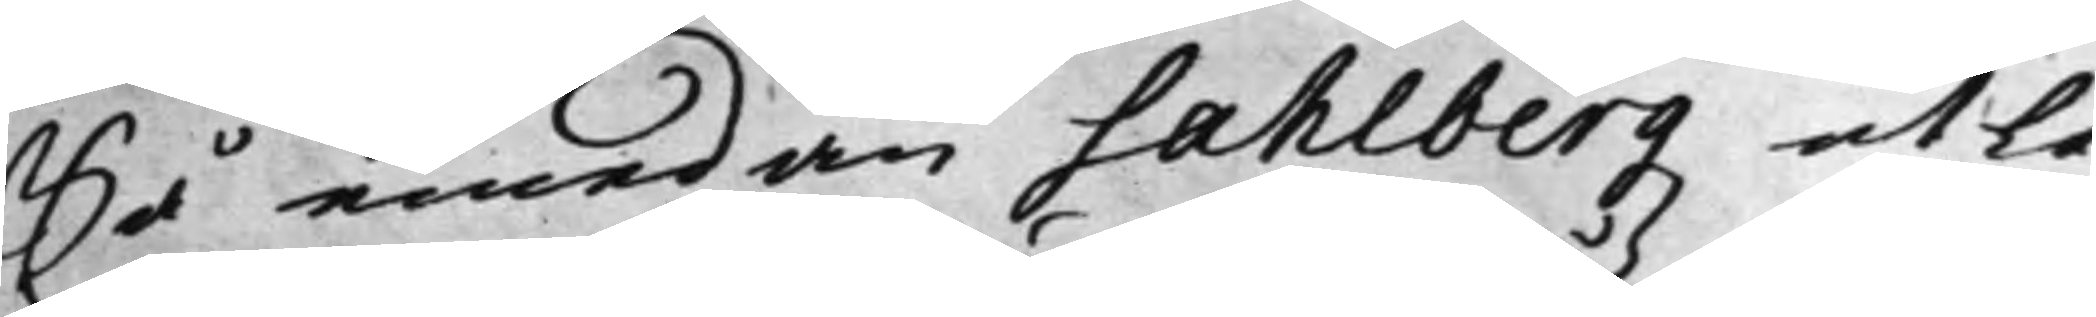Så emedan Sahlbergz utlå¬
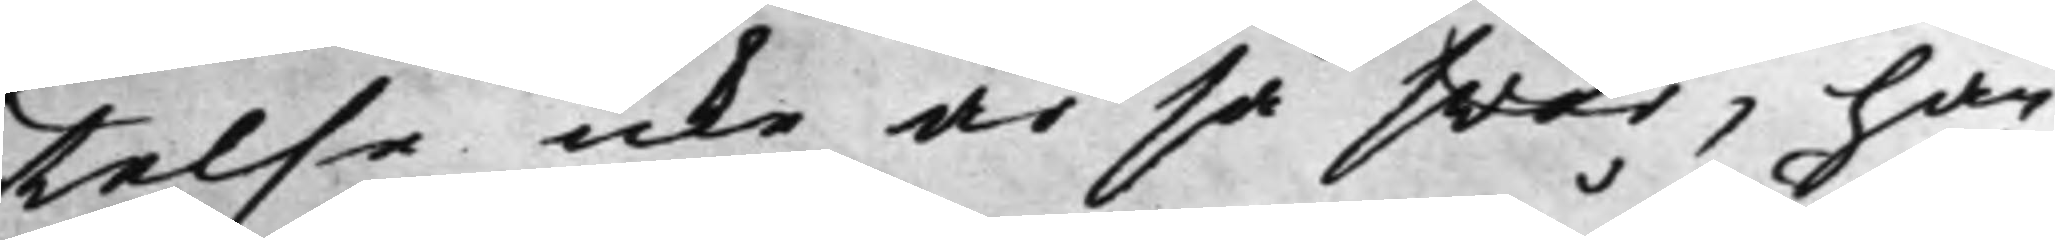telse icke är så swår, har
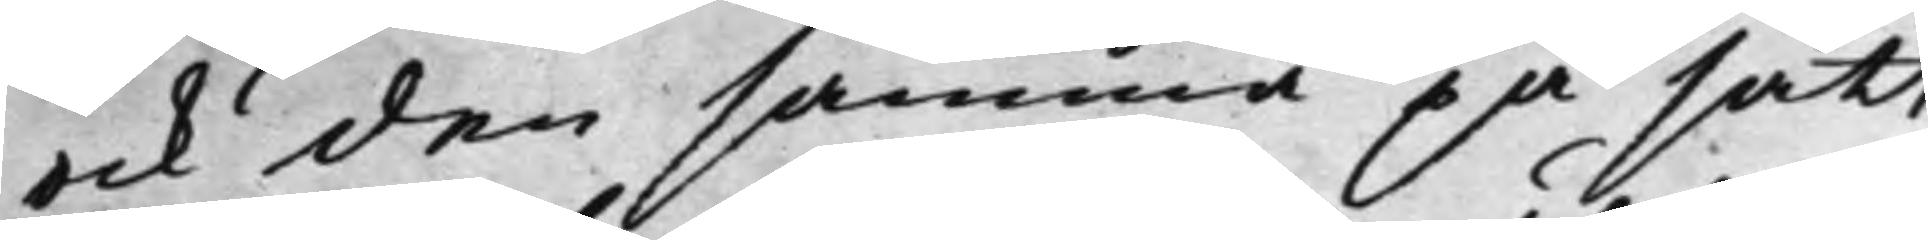ock den samma på sätt,
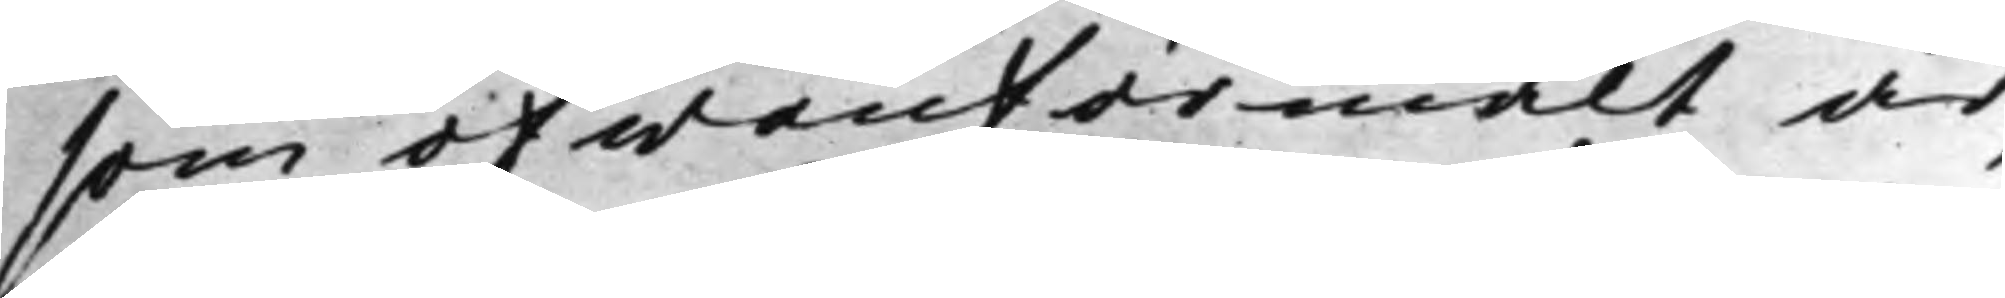som ofwanförmält är,
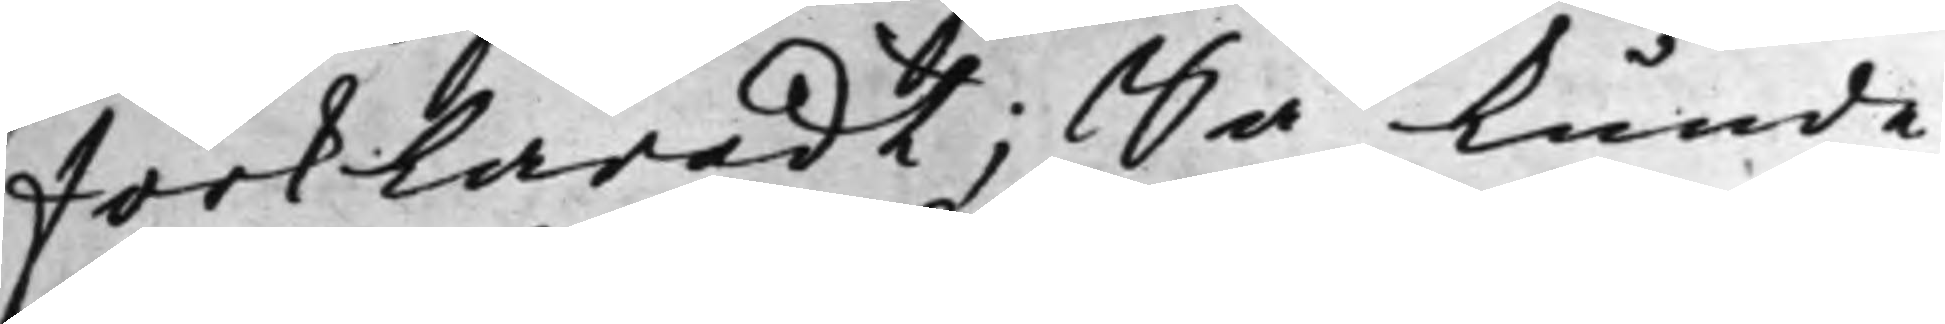förklaradt; Så kunde
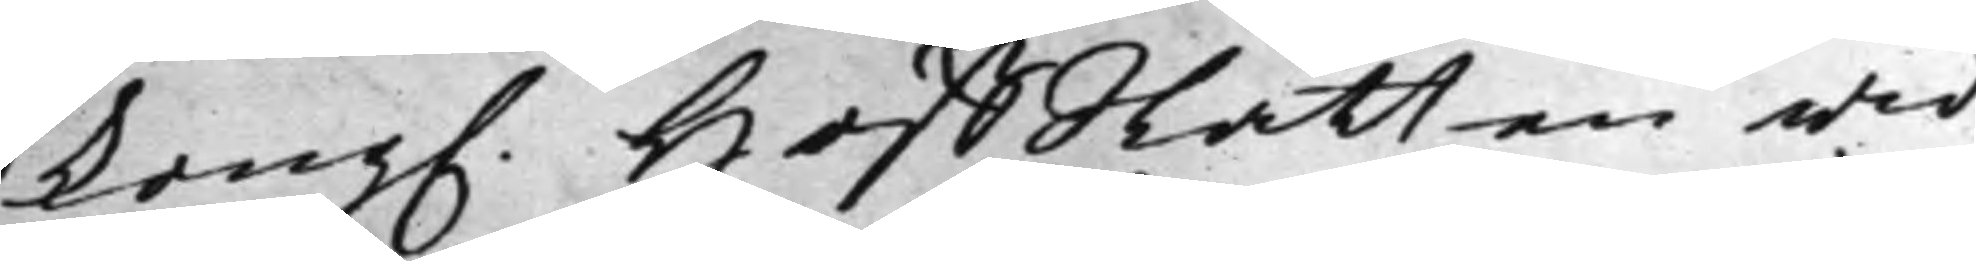Kong. HoffRätten wid
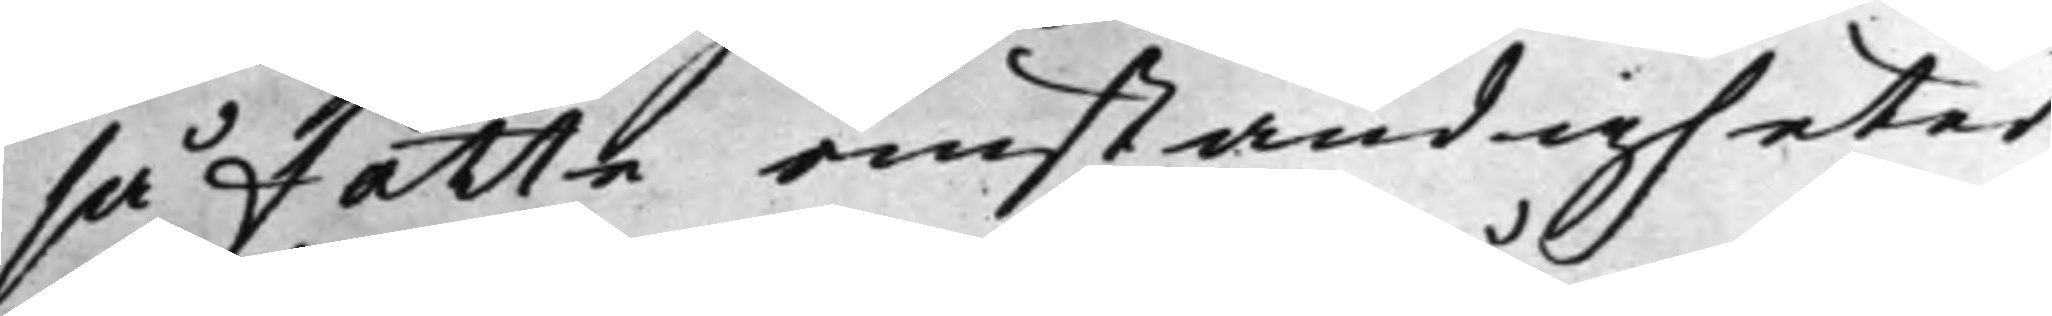så fatte omständigheter
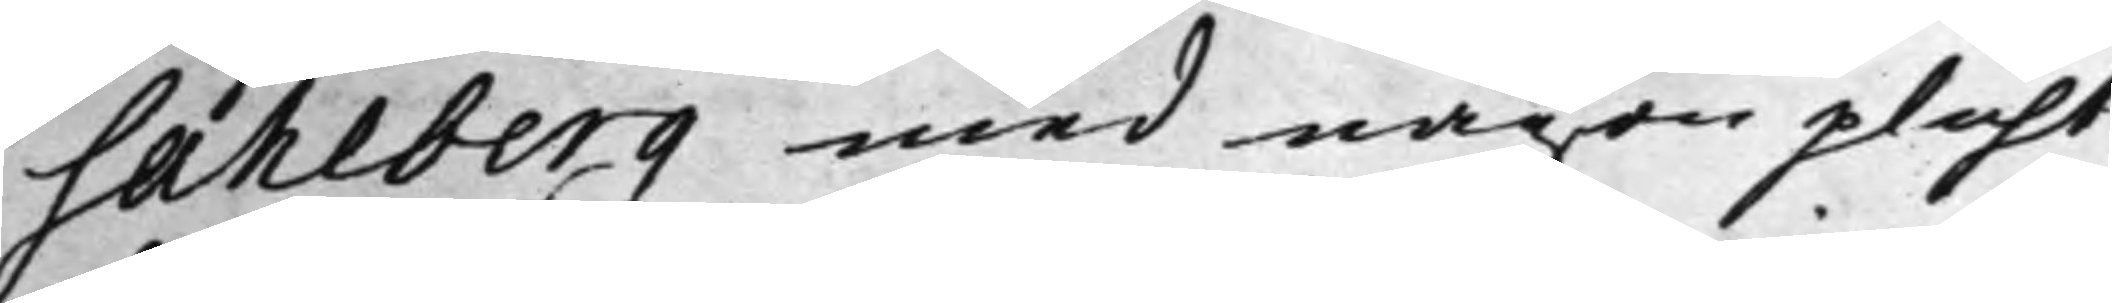Sahlberg med någon plicht
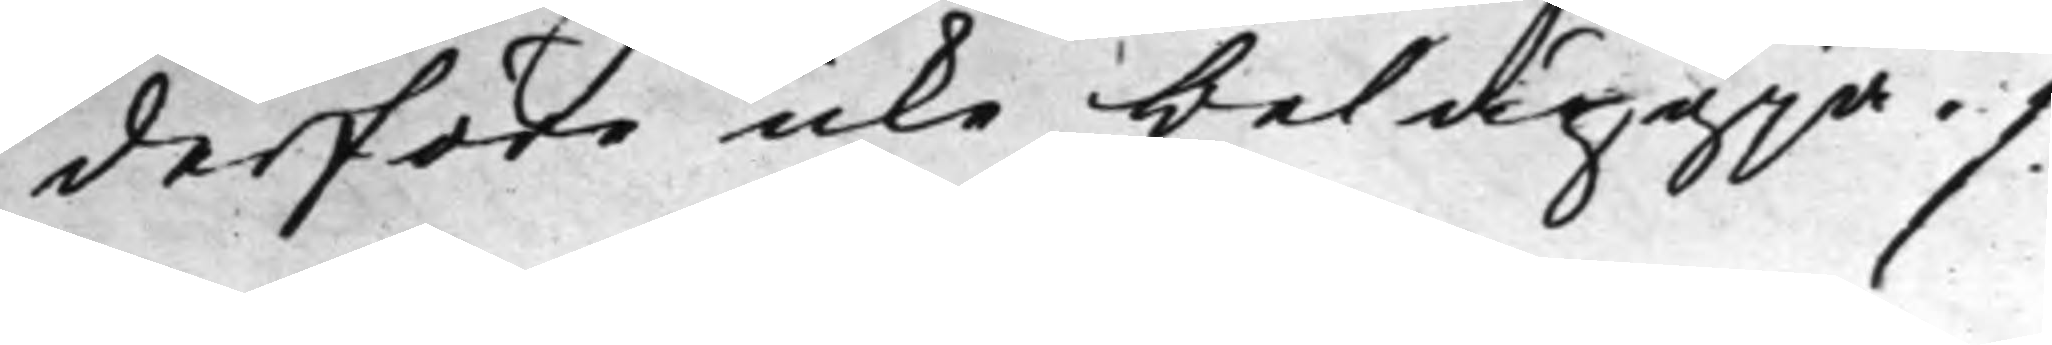derföre icke beläggia ./.
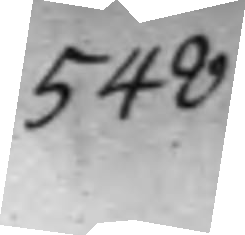548
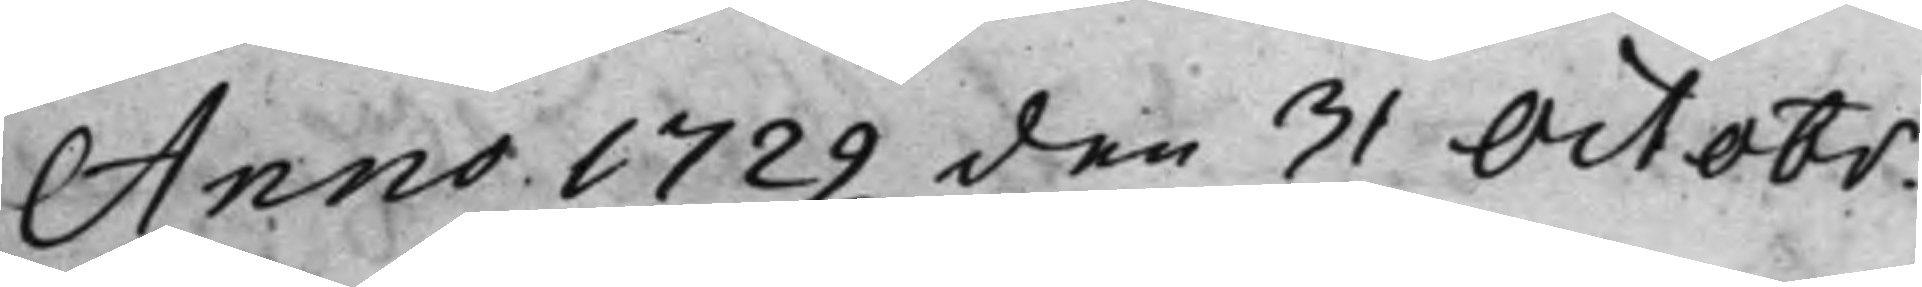Anno 1729 den 31 Octobr.
